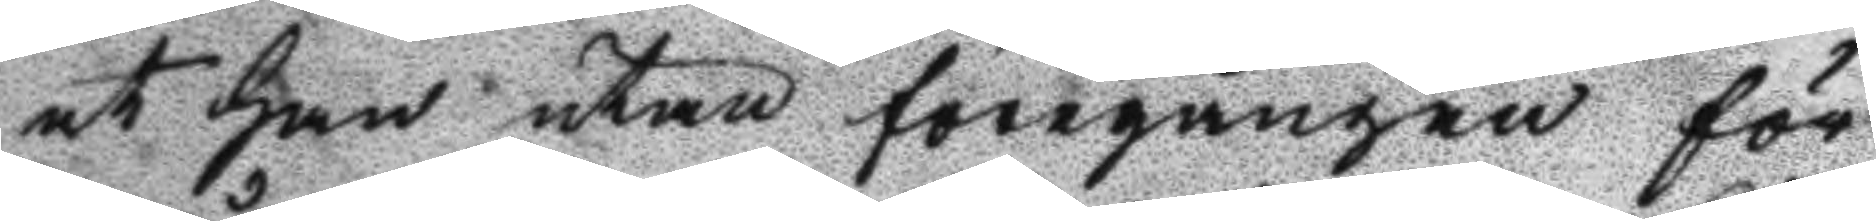at han utan föregången för
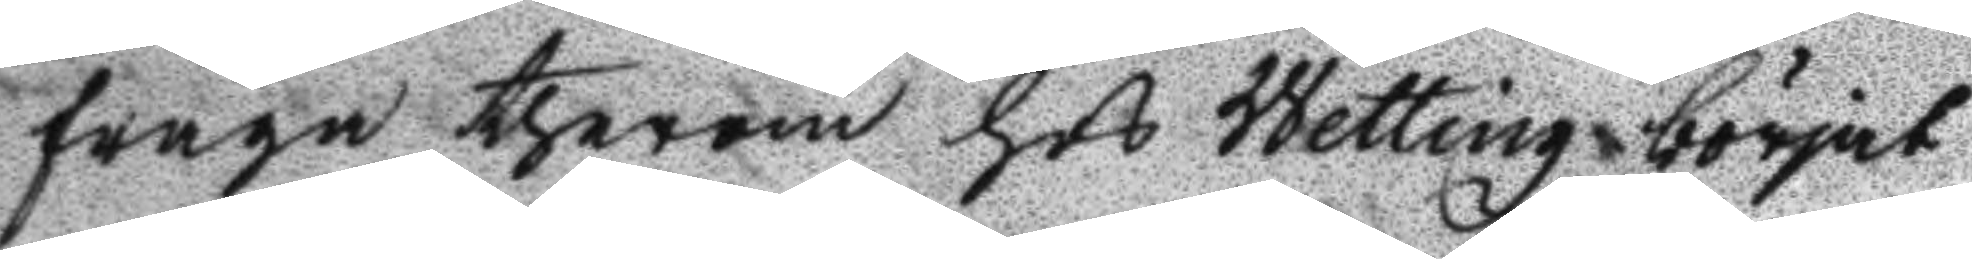fråga therom hos Wetting börjat
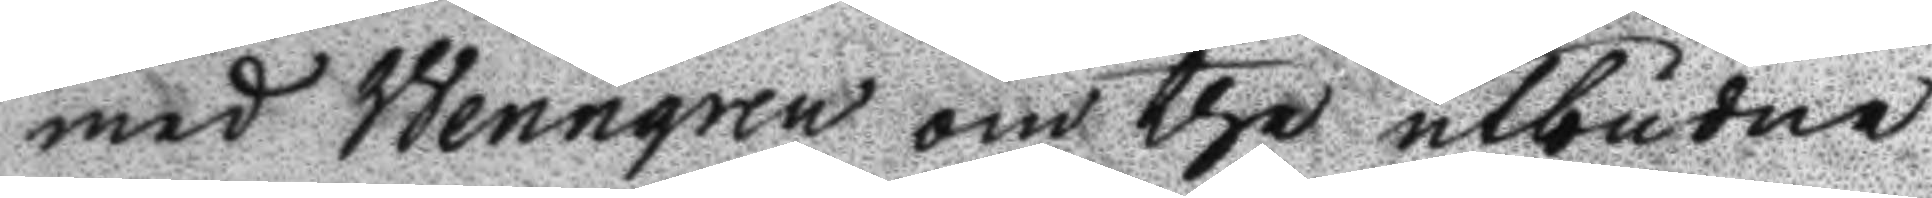med Wenngren om the utbudne
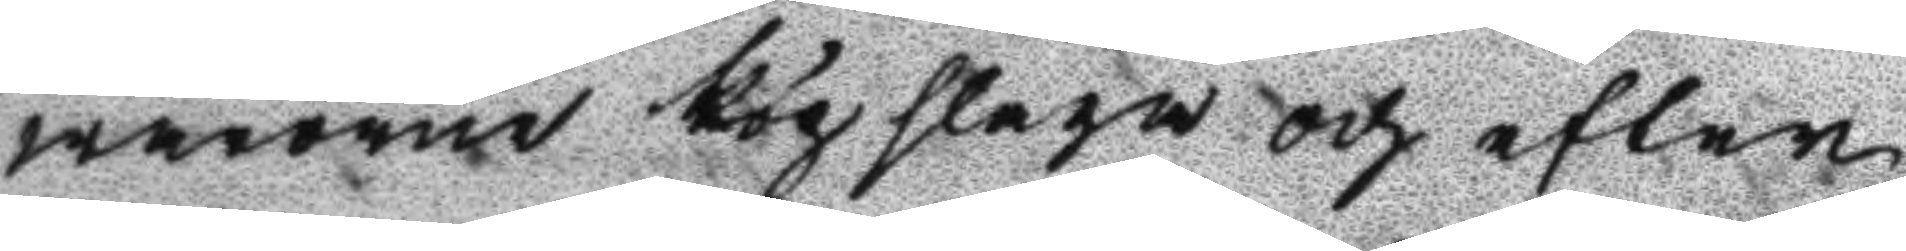warorne köpslaga och efter
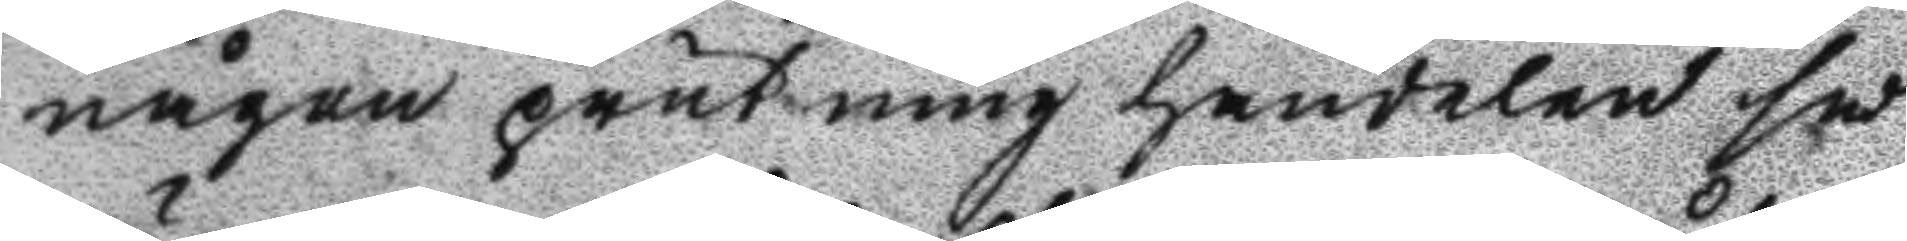någon prutning handelen så
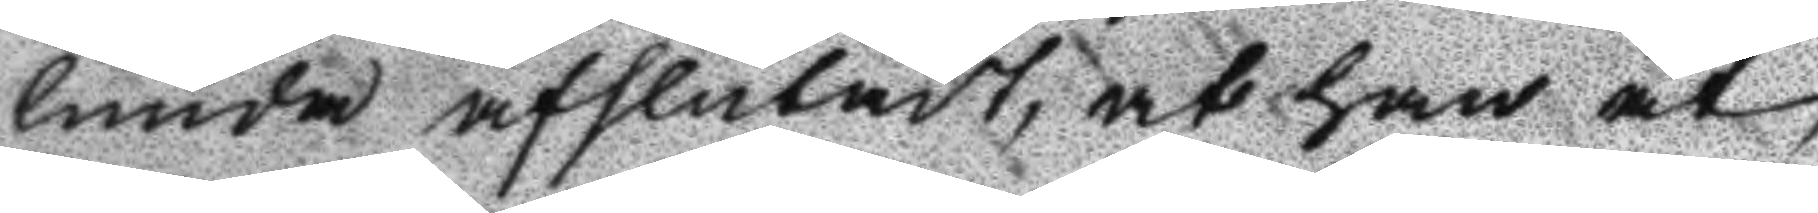lunda afslutadt, at han åt
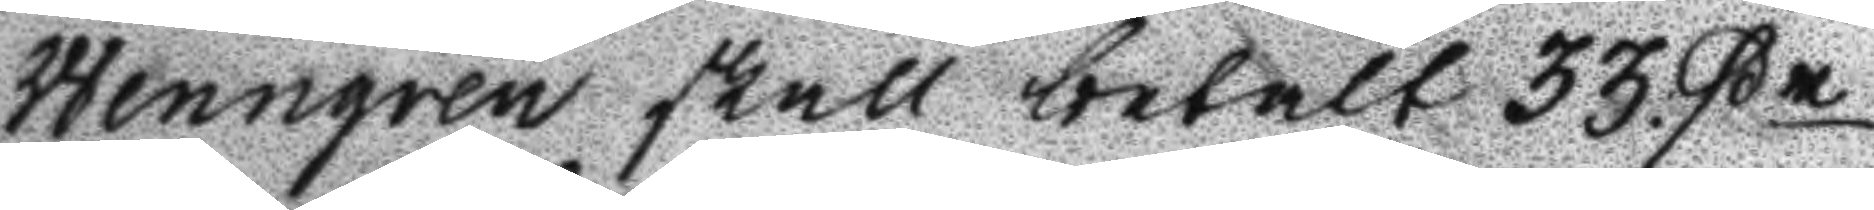Wenngren skall betalt 33 ßr
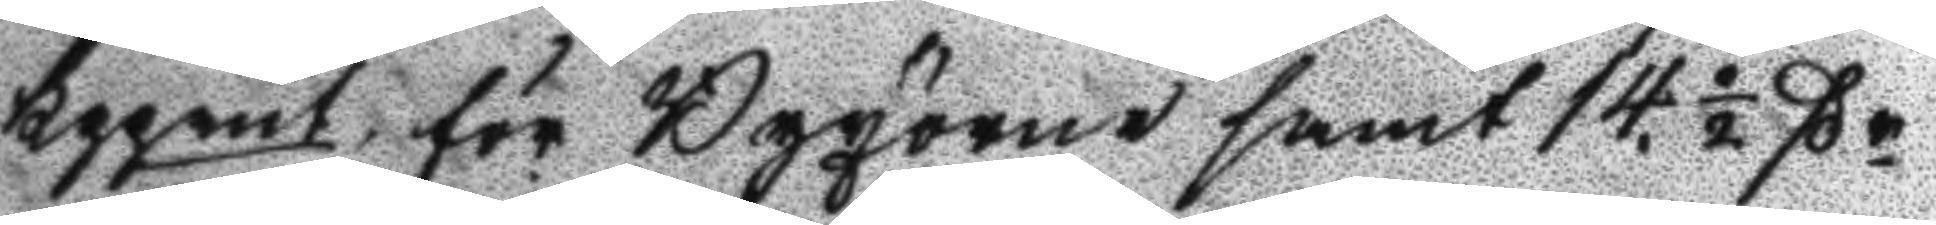kppmt. för Byxorne samt 14½ ßr
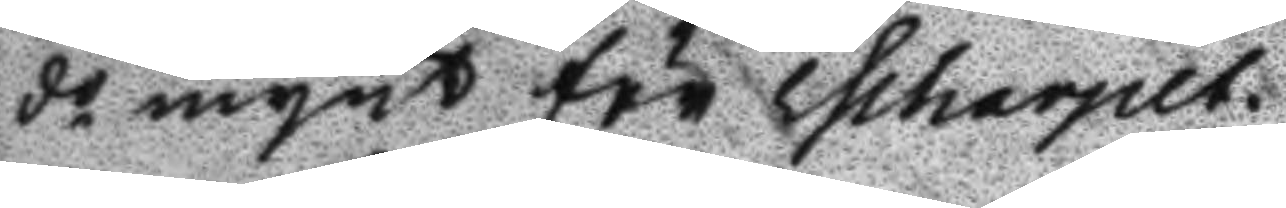do mynt för Escharpelt.
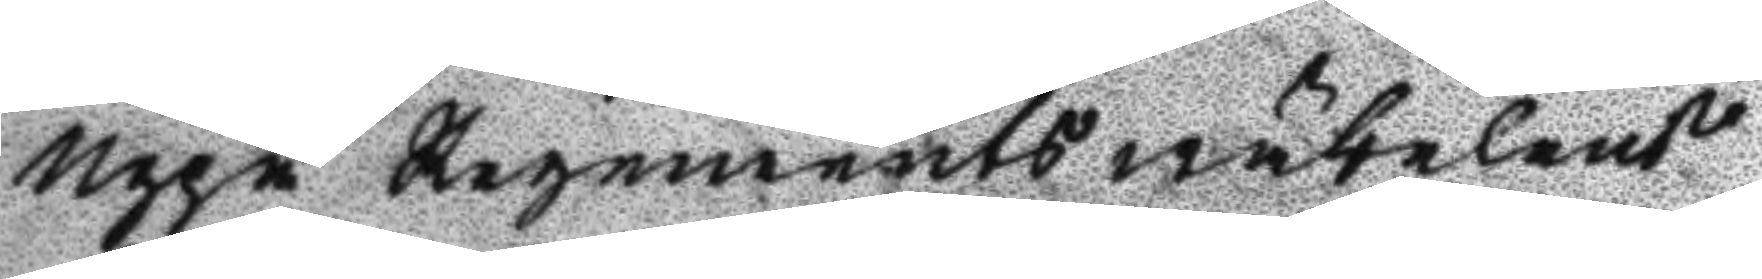Uppå Regements wäbelens
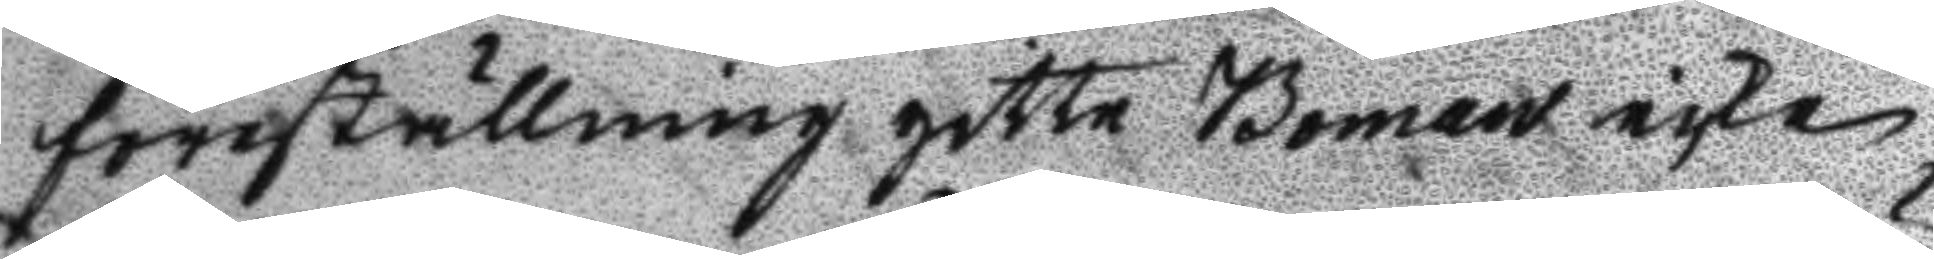föreställning gitte Boman icke
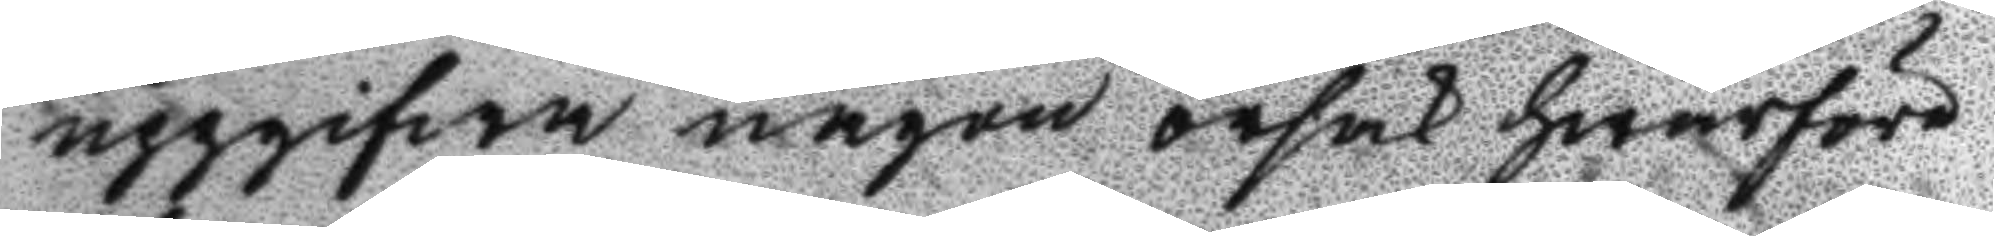uppgifwa någon orsak hwarföre
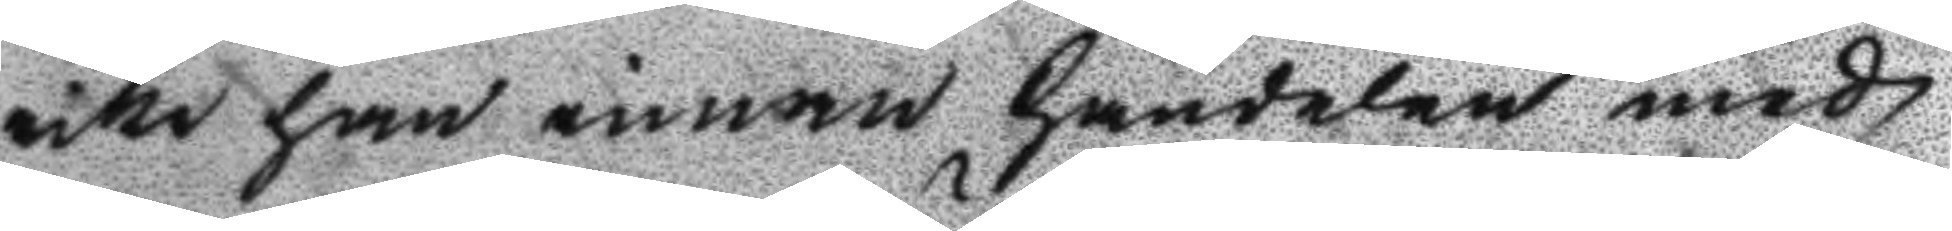icke han innan handelen med
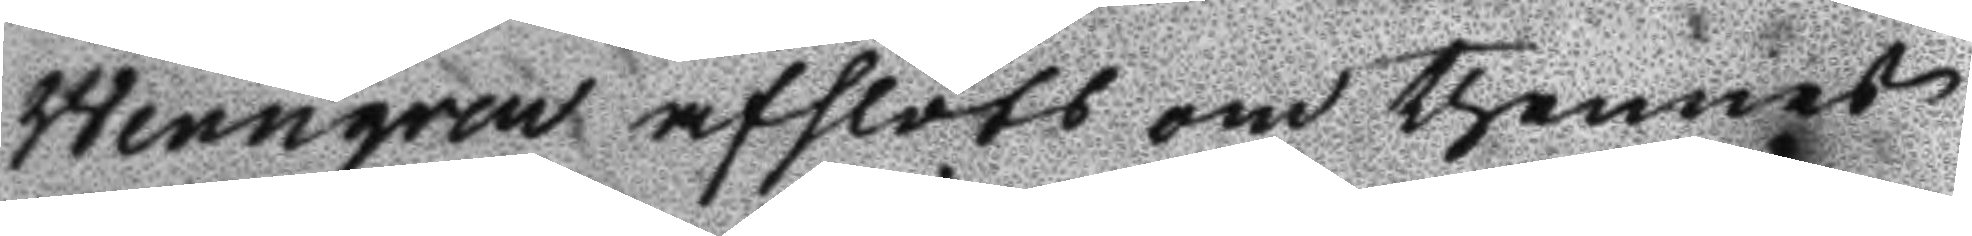Wenngren afslöts om thennes
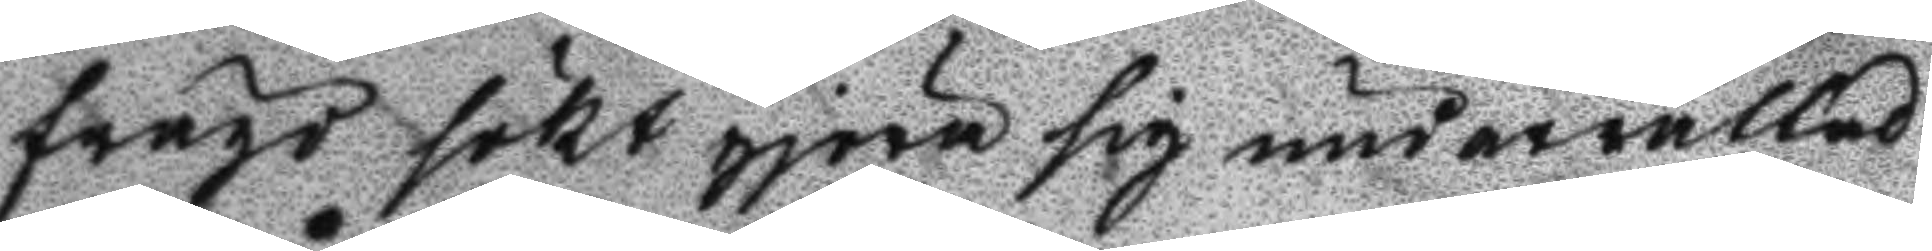frägd sökt gjöra sig underrättad
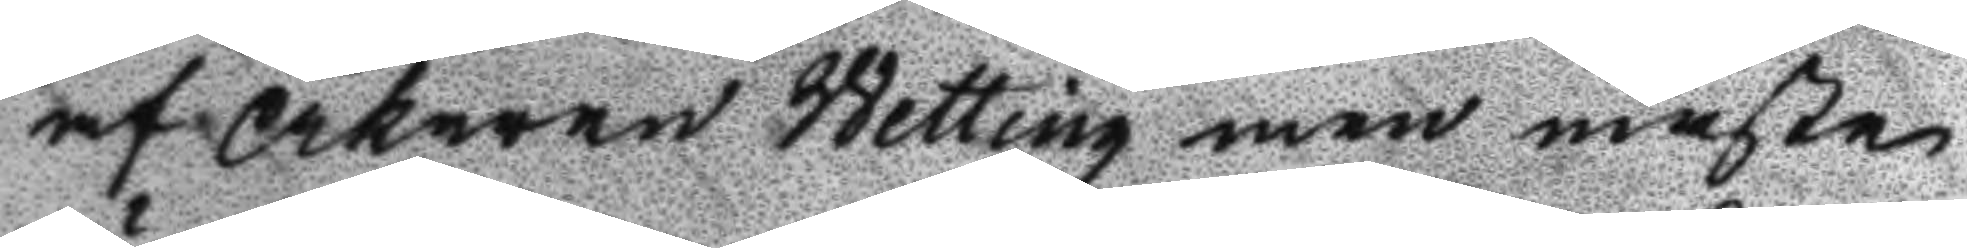af Åkaren Wetting men måste
